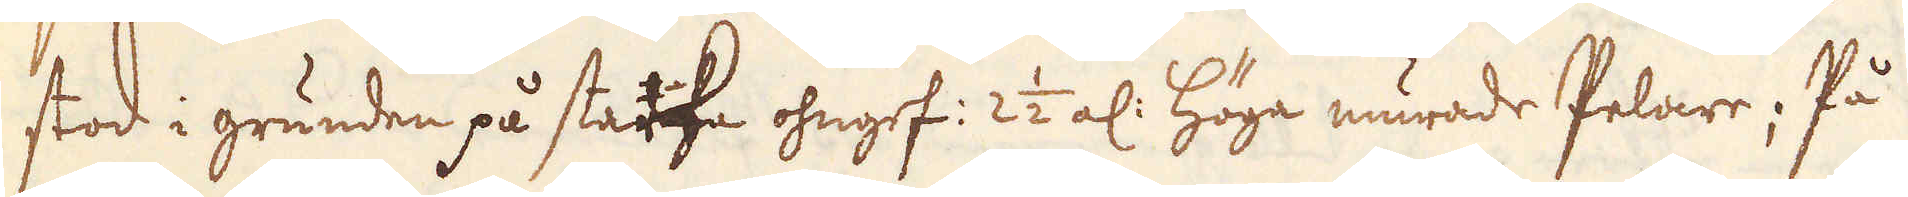stod i grunden på starke ohngef: 2 1/2 al: höga murade Pelare; På
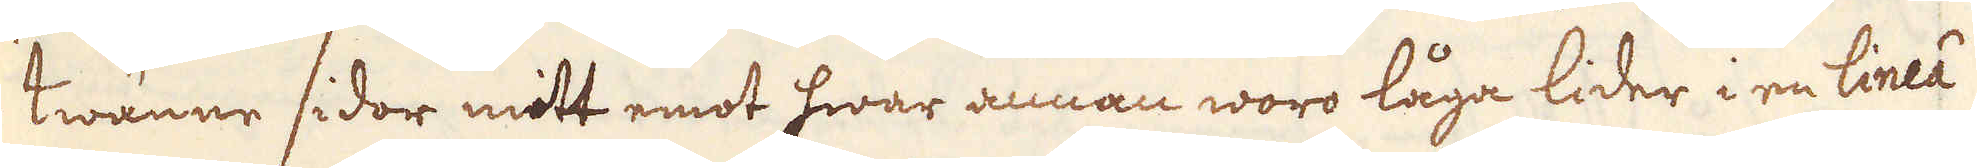twänne sidor mitt emot hwar annan woro låga lider i en linéea
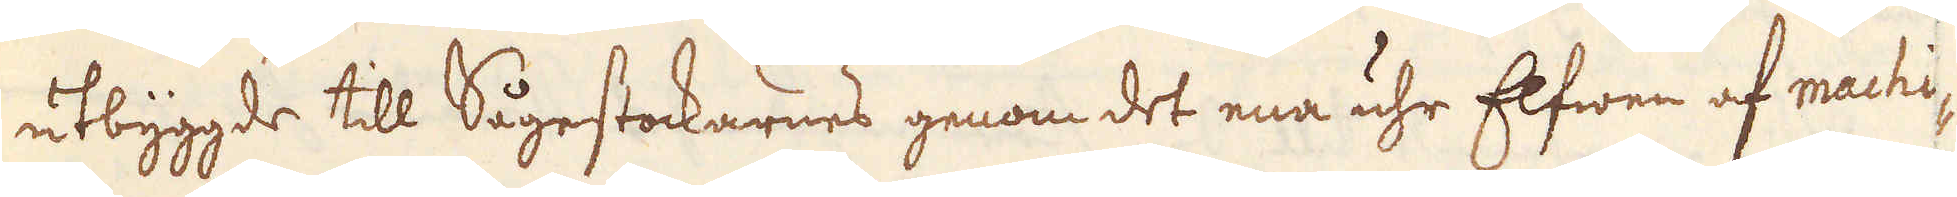utbyggd, till Sågestockarnes genom det ena uhr Elfwen af machi-
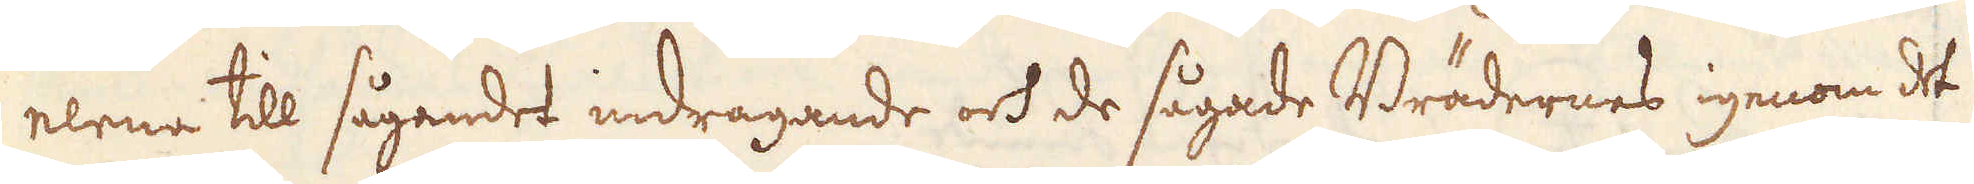nerne till sågandet indragande och de sågade Brädernes igenom det
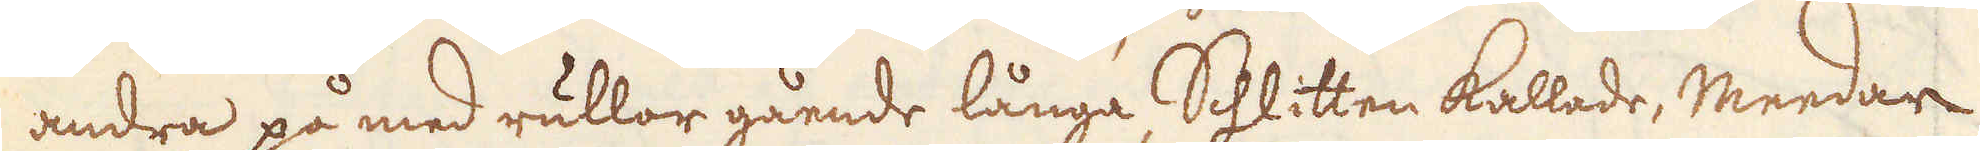andra på med rullor gående långa Schlitten kallade, Meedar
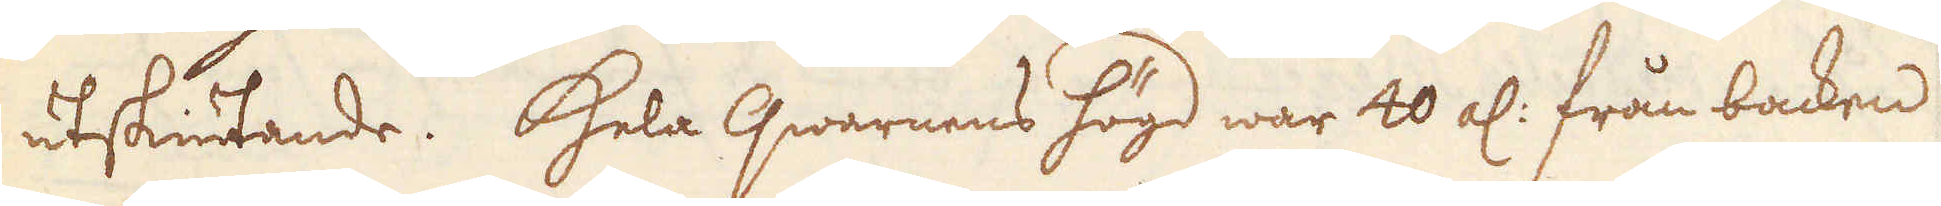utskiutande. Hela qwarnens högd war 40 al: från backen
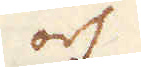och
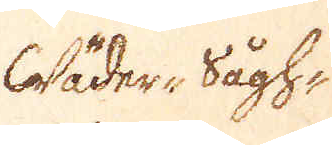Wäder-Sågh-
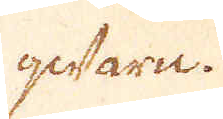qwarn.
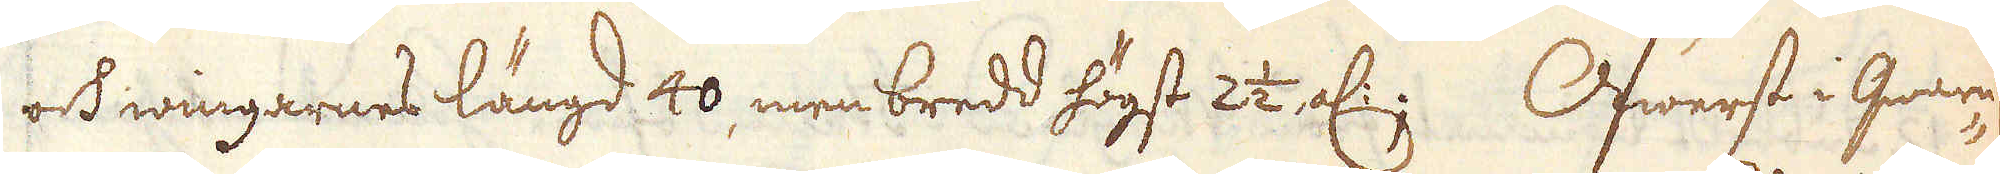ock wingarnes längd 40 men bredd högst 2 1/2 al:; Öfwerst i qwarn-
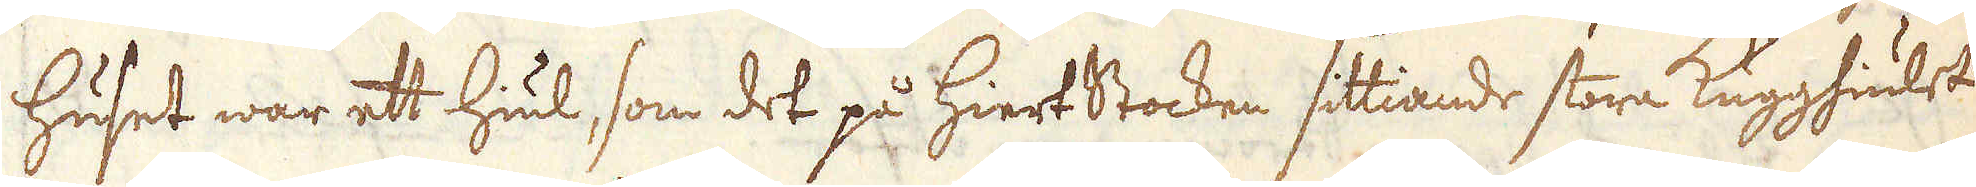huset war ett hiul, som det på hiertStocken sittiande stora Kugghiulet
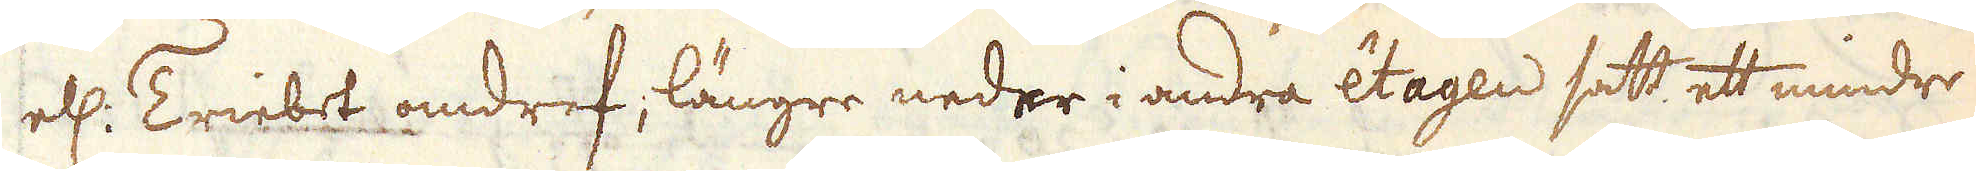el: Triebet omdref; längre neder i andra êEtagnd satt ett mindre
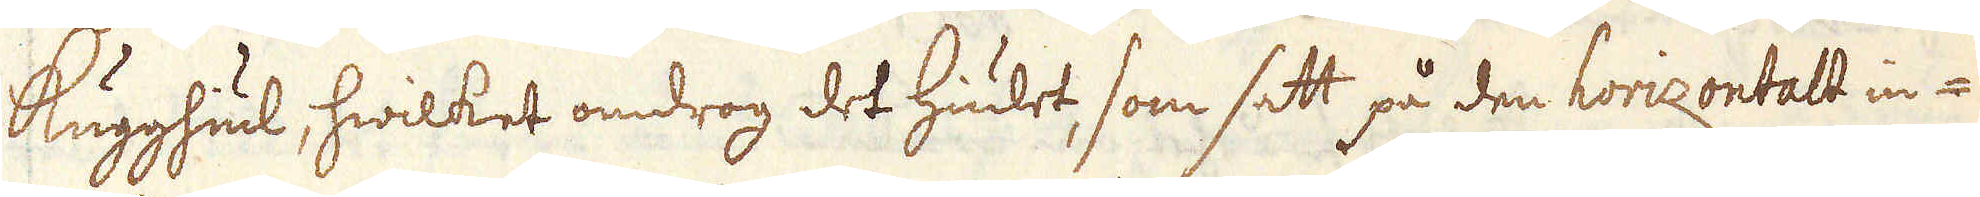Kugghiul, hwilket omdrog det hiulet, som satt på den horizontalt in-
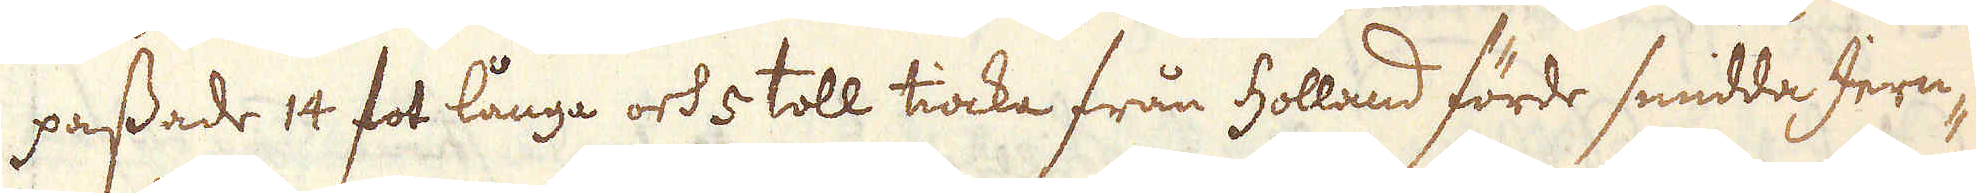passade 14 fot långe och 5 toll tiocka från holland förde smidda Jern-
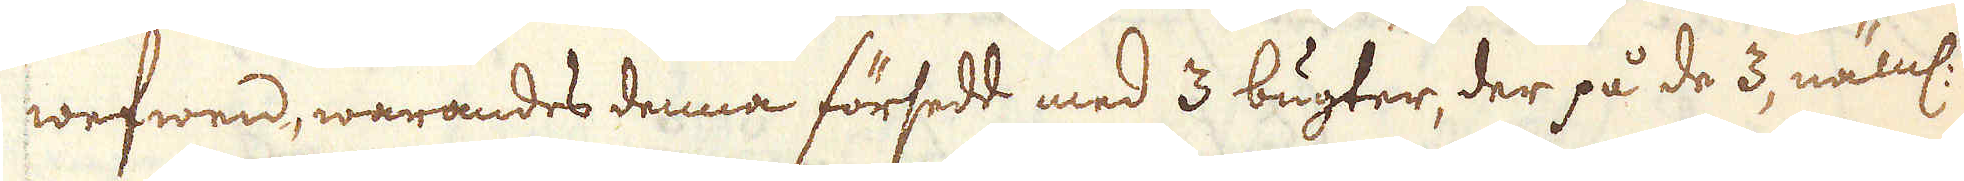wefwen, warandes denna försedd med 3 bugter, der på de 3, näml:
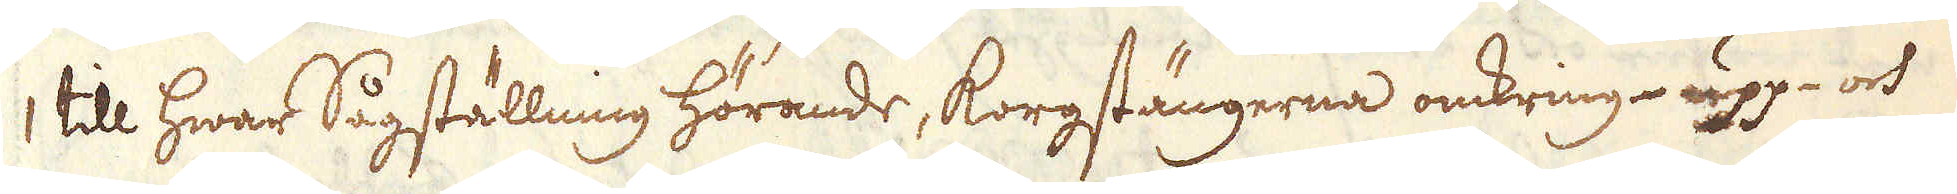1 till hwar Sågställning hörande, korgstängerna omkring upp- och
